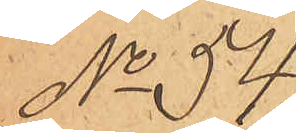No 54
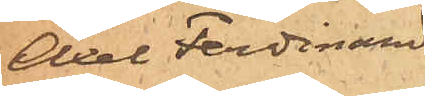Axel Ferdinand
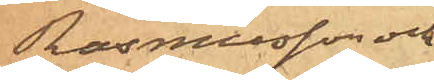Rasmusson och
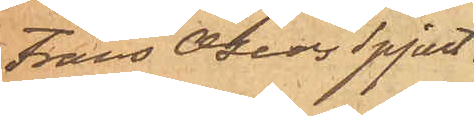Frans Oscar Spjut
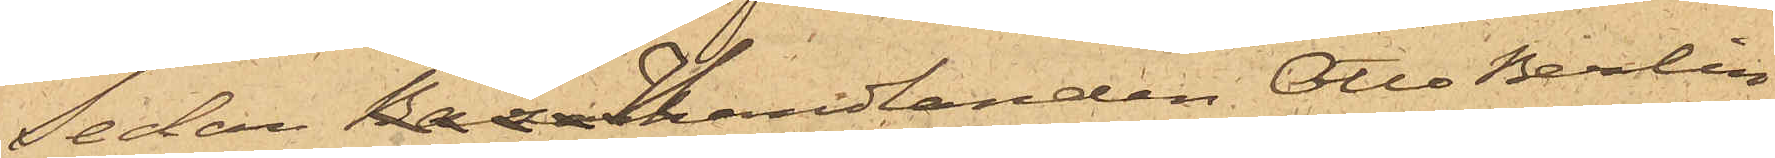Sedan handlanden Otto Berlin,
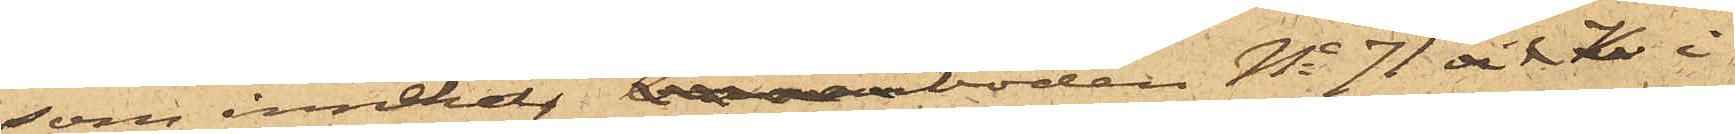som innehar boden No 71 vid K i
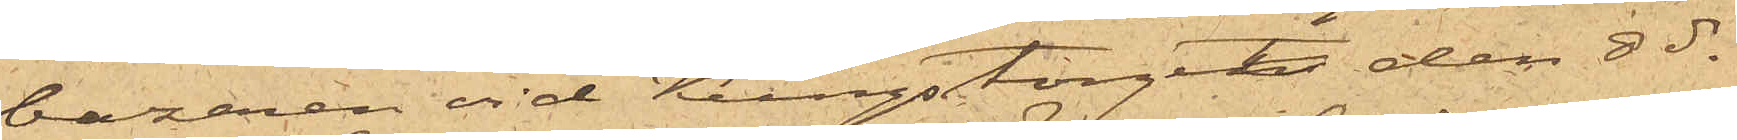bazaren vid Kungstorget, den 8 ds
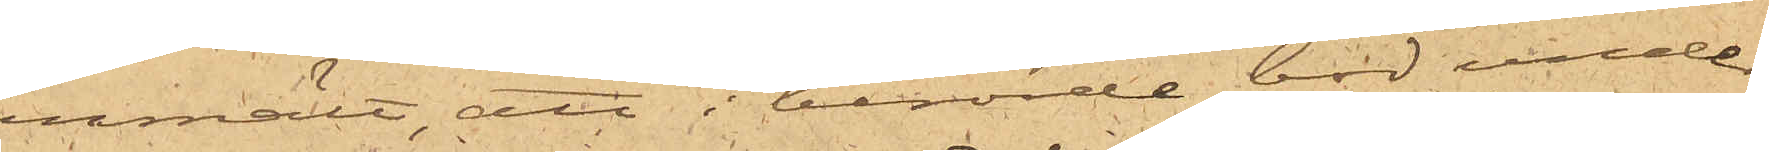anmält, att i berörde bod under
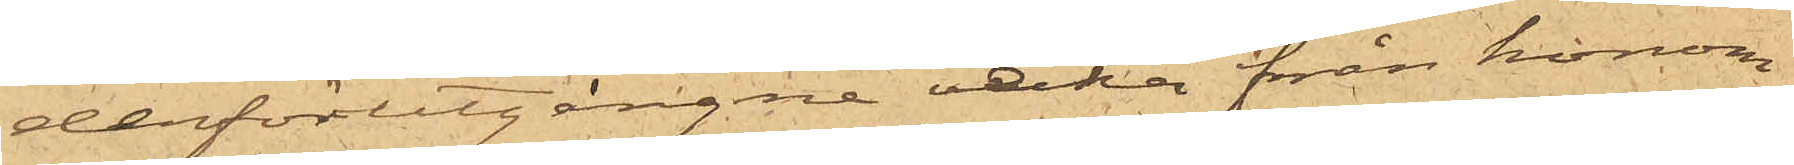derförutgångne vecka från honom
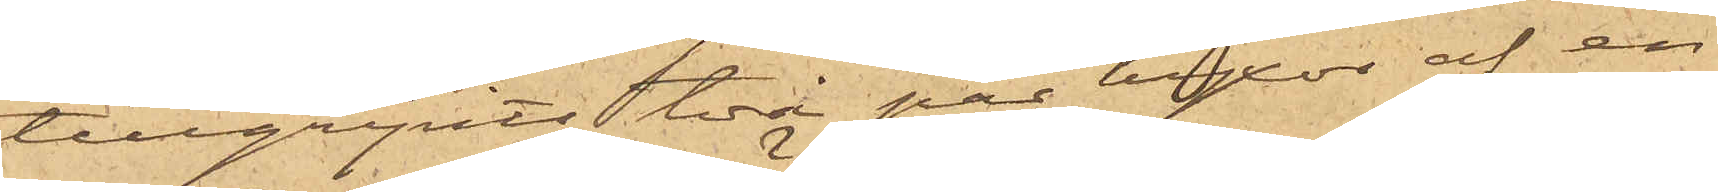tillgripits två par byxor af en¬
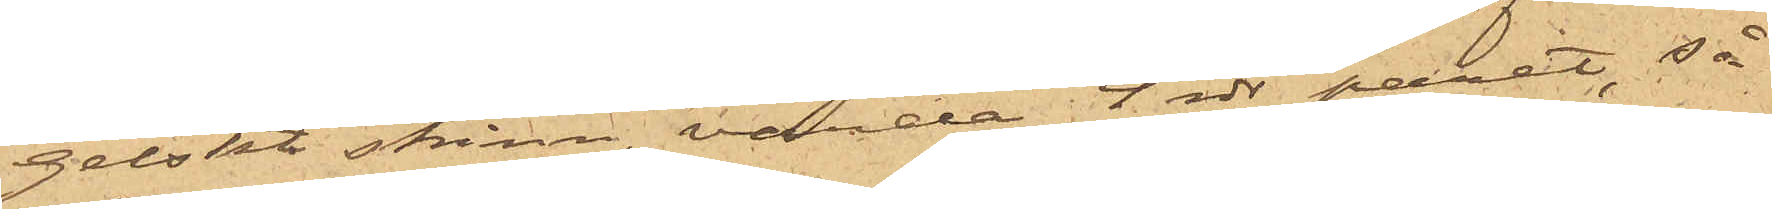gelskt skinn, värda 4 rdr paret, så
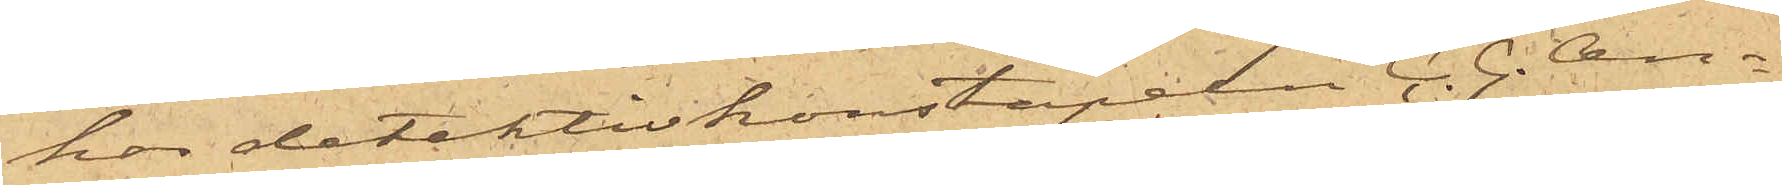har detektivkonstapeln C. G. An¬
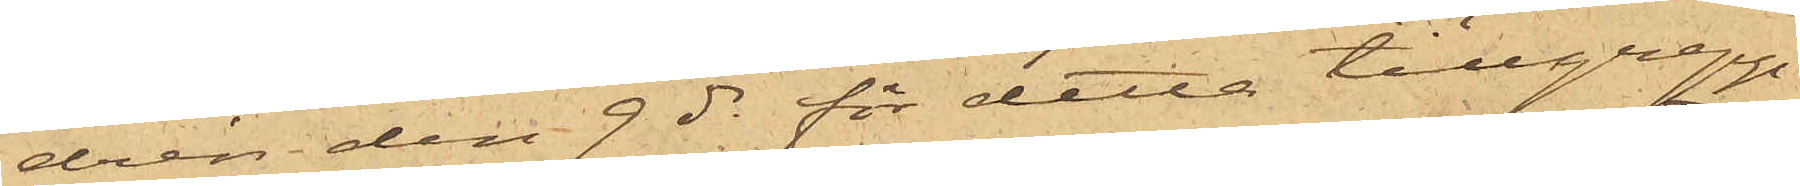drén den 9 ds för detta tillgrepp
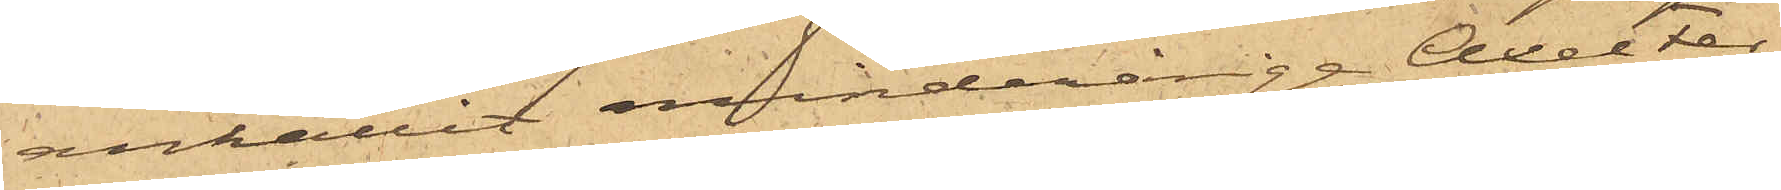anhållit minderårige Axel Fer¬
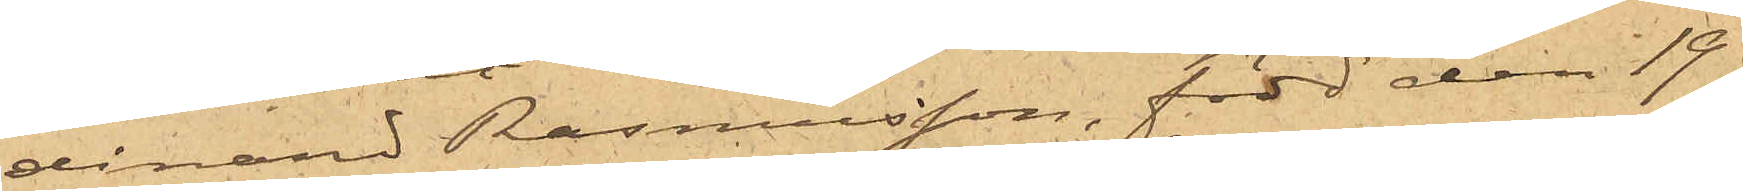dinand Rasmusson, född den 19
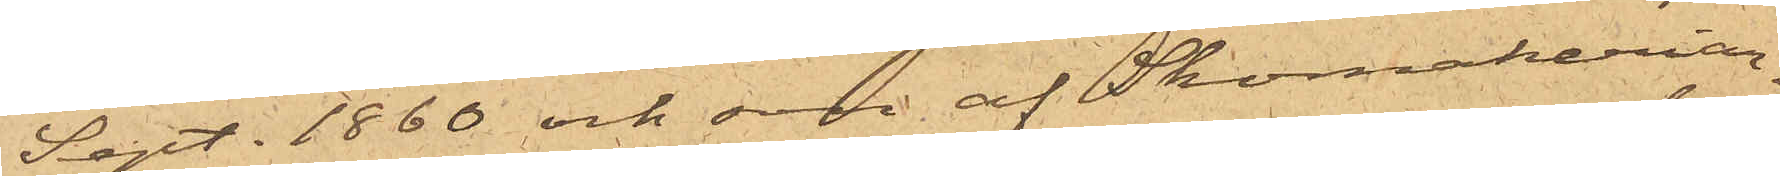Sept. 1860 och son af Skomakeriar¬
